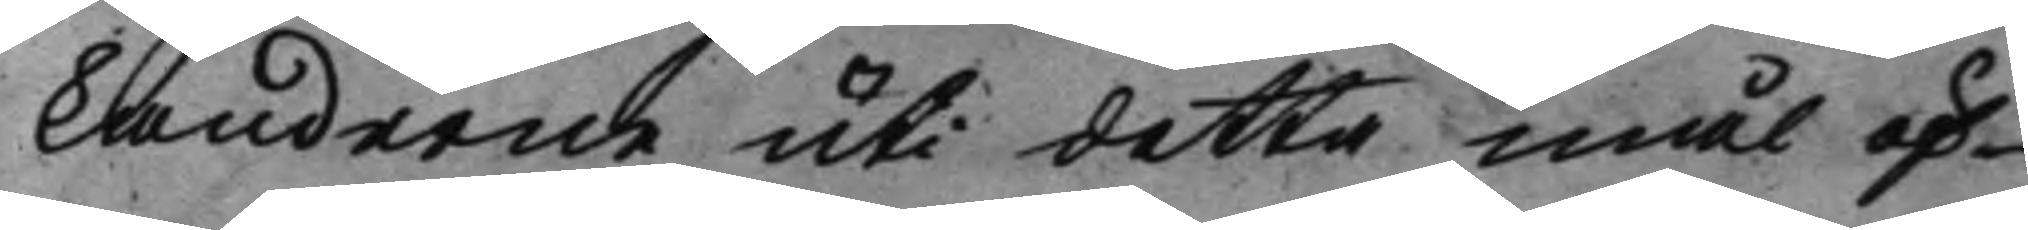kanderne uti detta mål öf¬
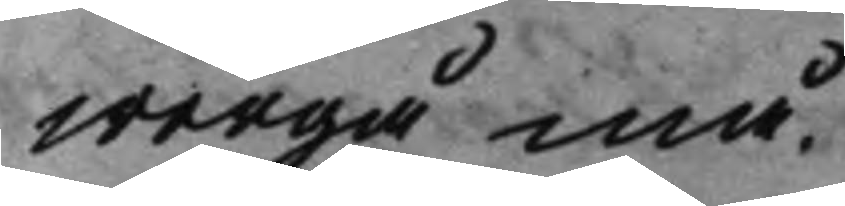wergå må.
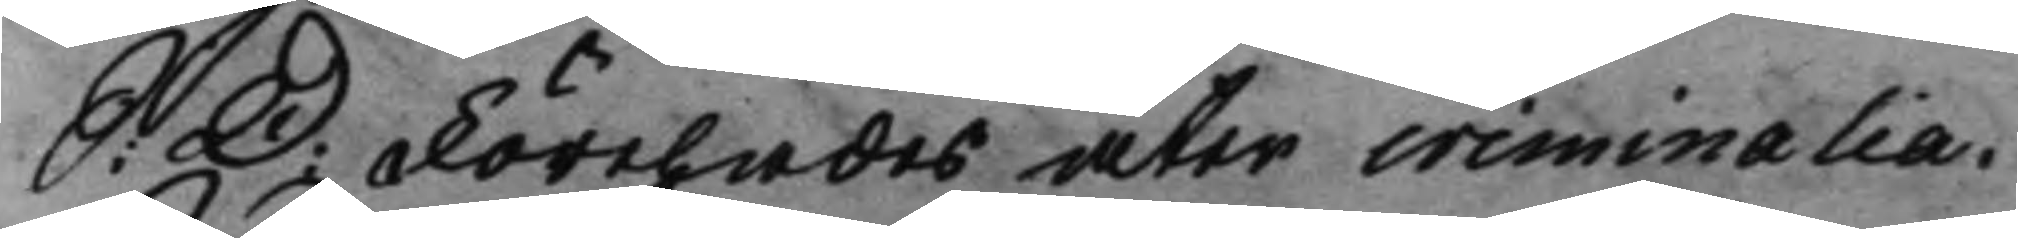S: D: Förehades åter criminalia 
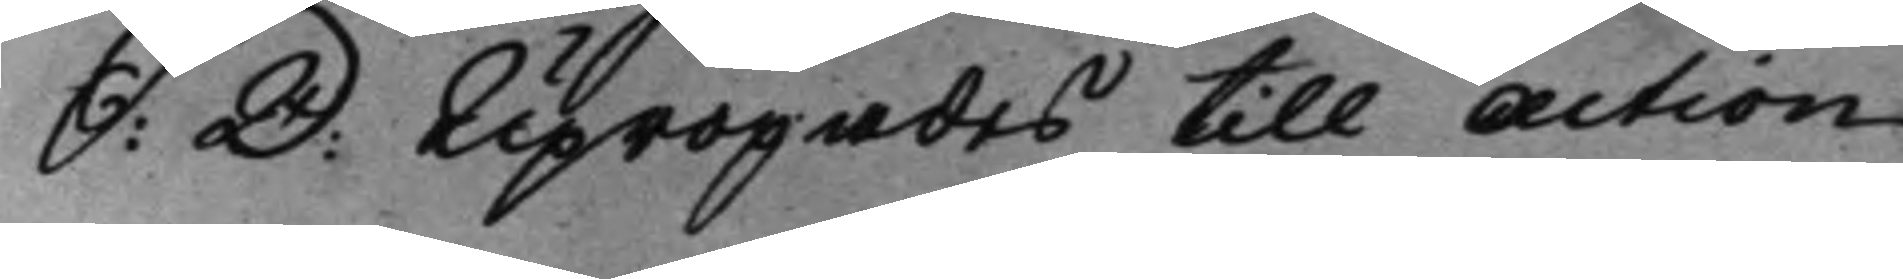S: D: Upropades till Action 
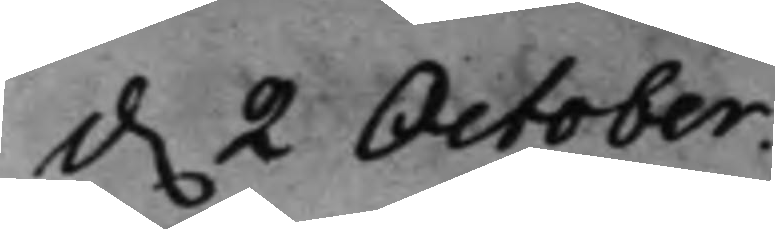d. 2 October. 
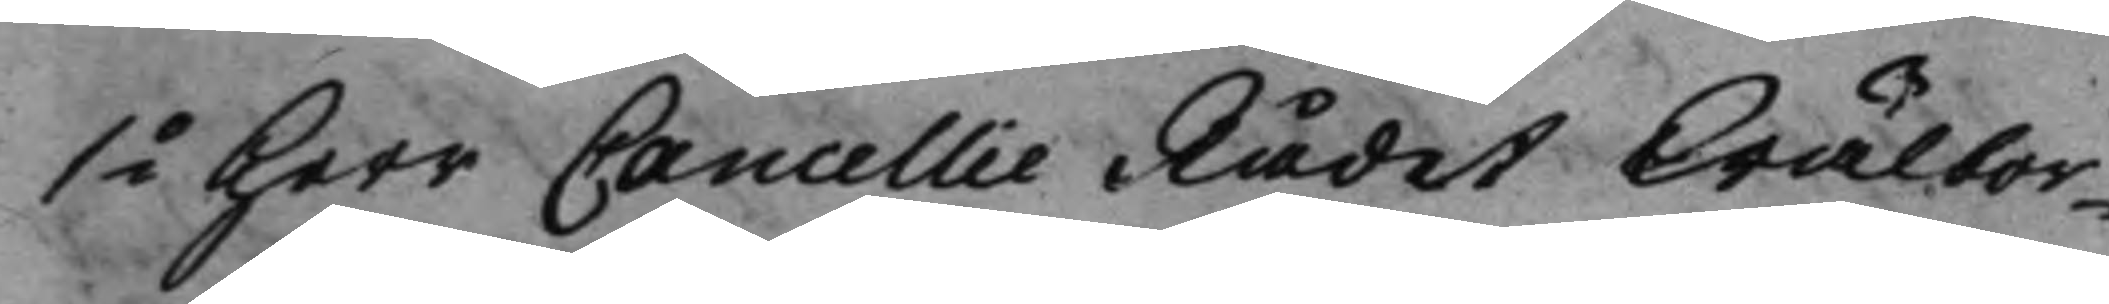1o Herr Cancellie Rådet Wälbor¬ 
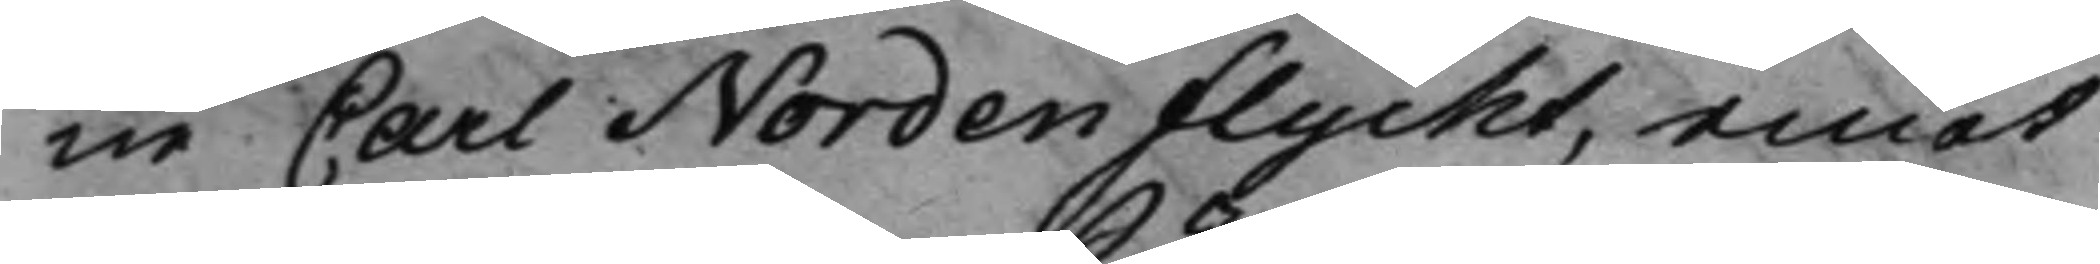ne Carl Nordenflycht, emot
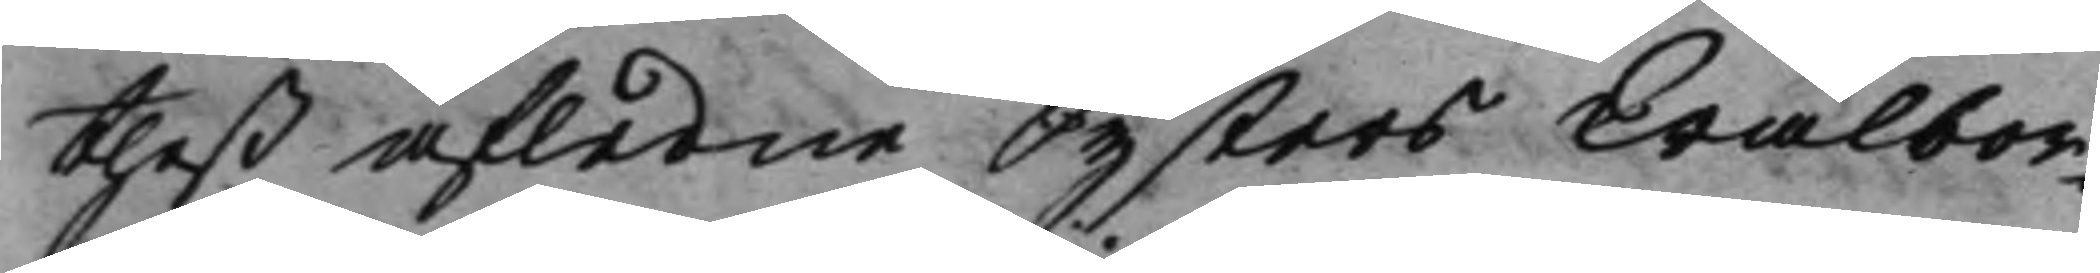theß afledne Systers Wälbor¬
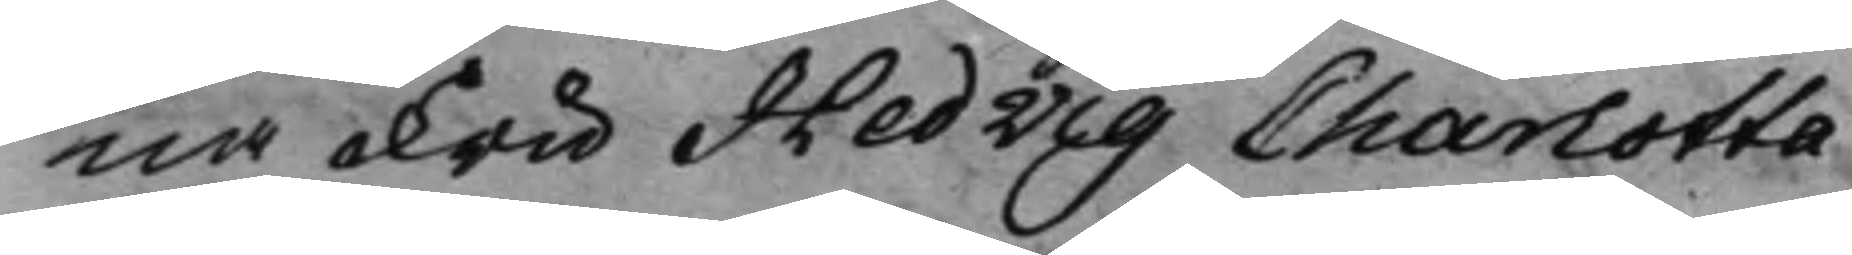na Fru Hedvig Charlotta
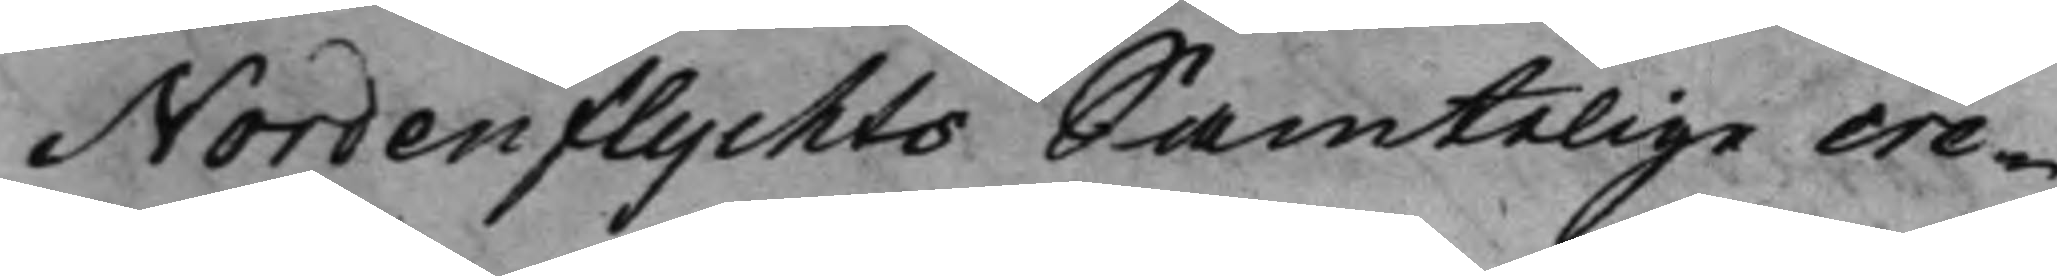Nordenflychts Samtelige cre¬
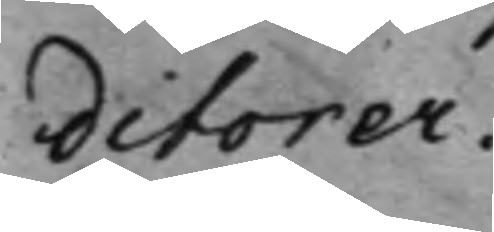ditorer.
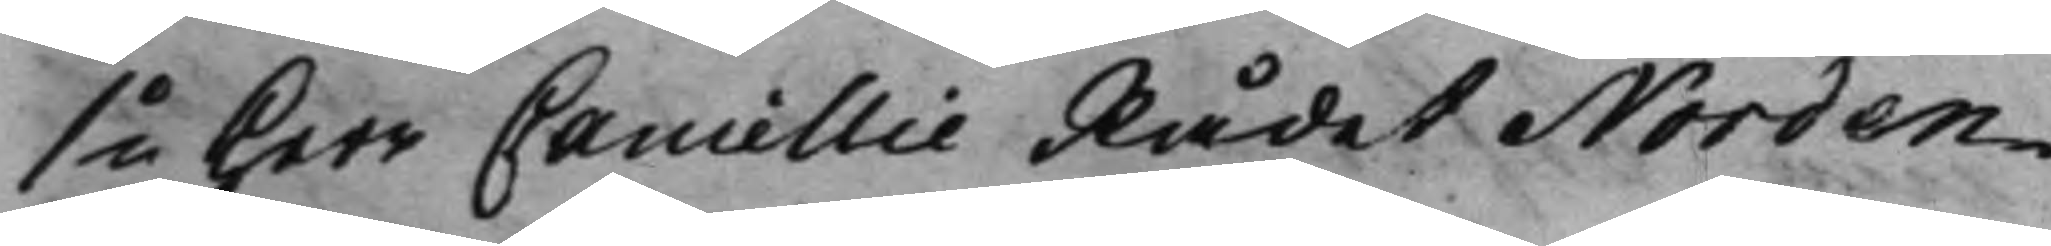1o Herr Cancellie Rådet Norden¬
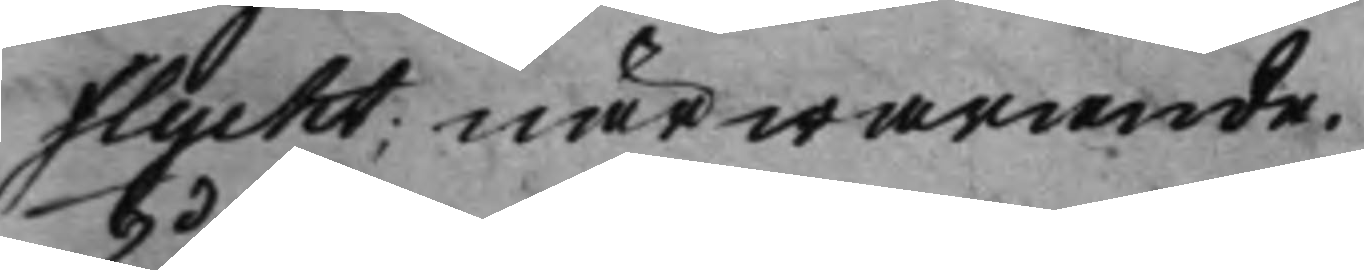flycht; närwarande.
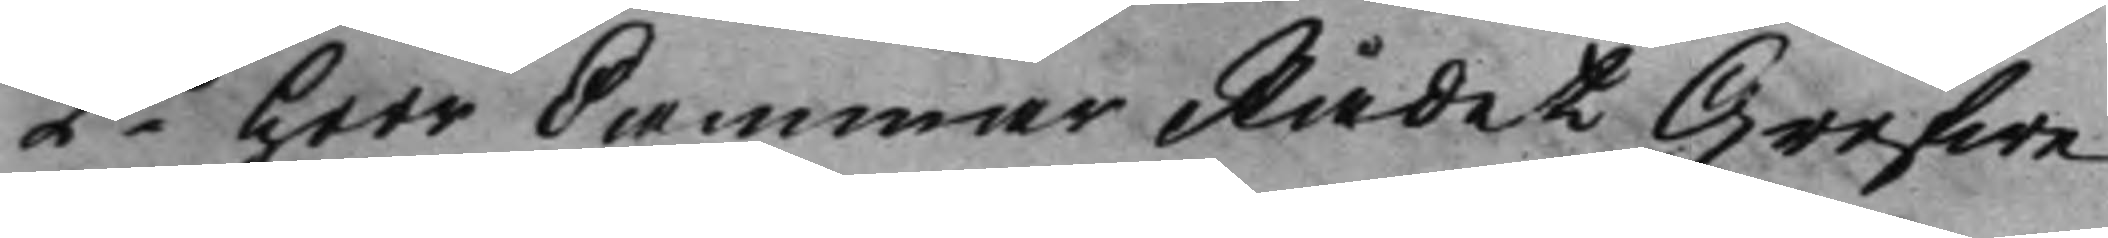2do Herr CammarRådet Grefwe 
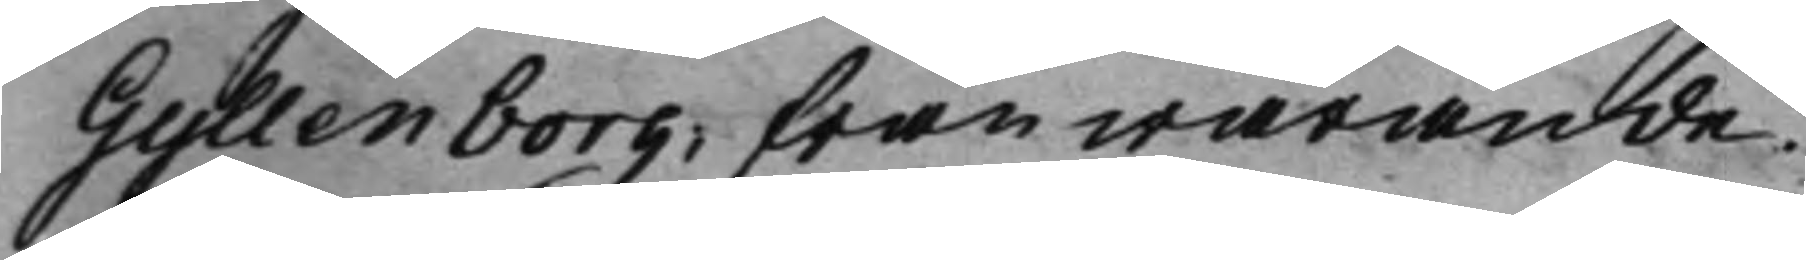Gyllenborg; frånwarande.
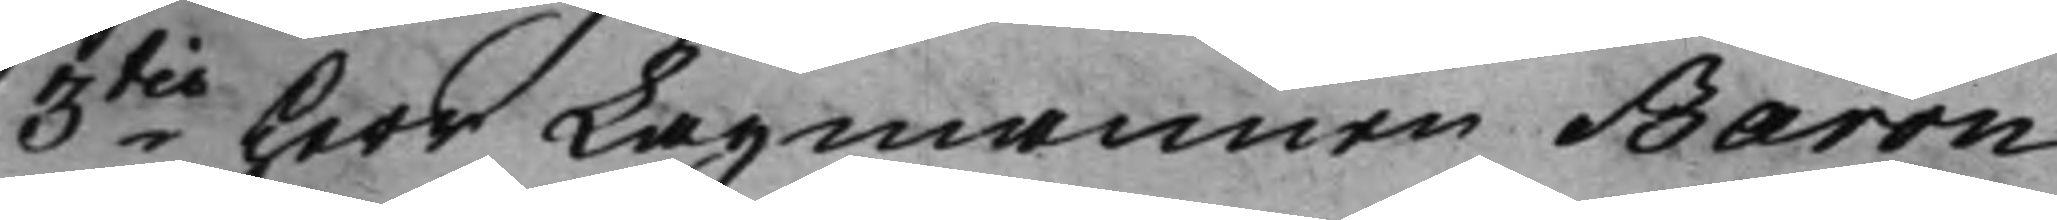3tio Herr Lagmannen Baron 
